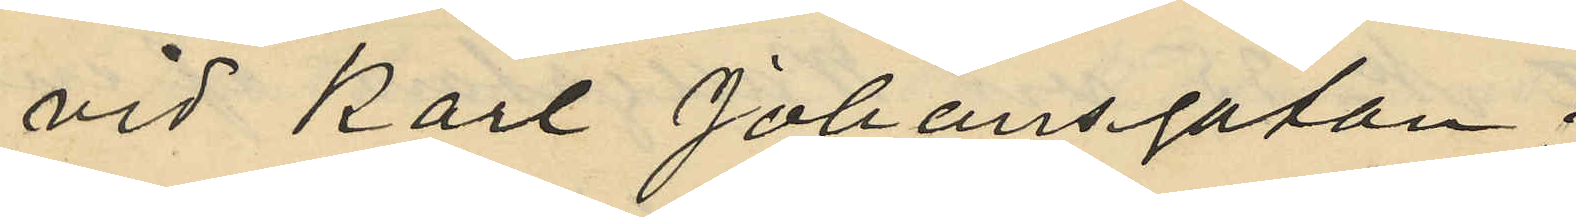vid Karl Johansgatan;
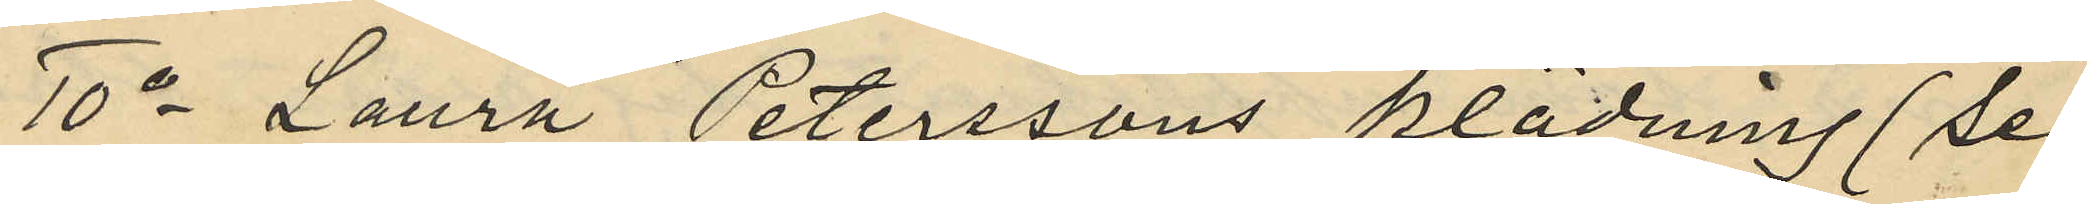10o Laura Peterssons klädning (se
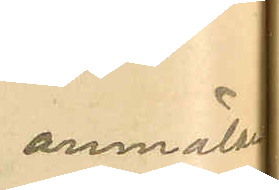anmälan
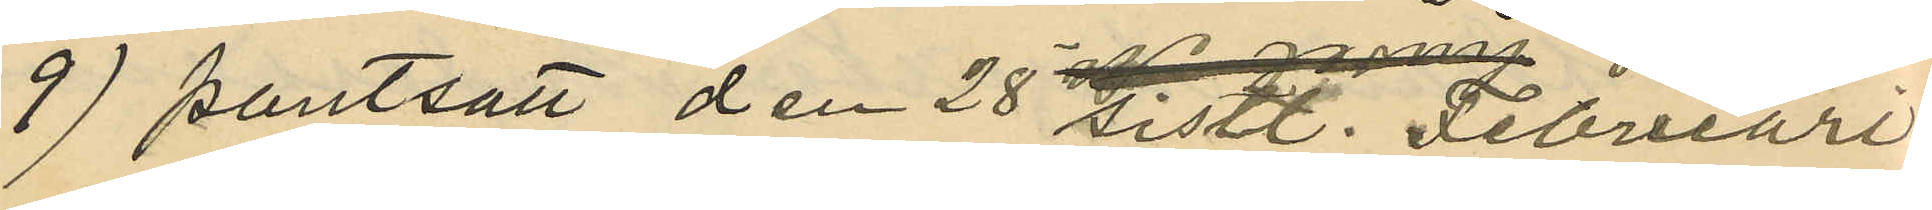9) pantsatt den 28 sistl. Februari
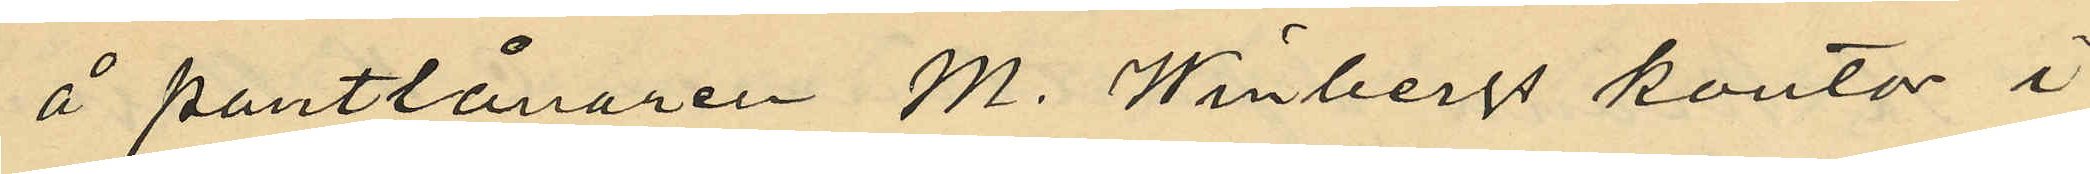å pantlånaren M. Winbergs kontor i
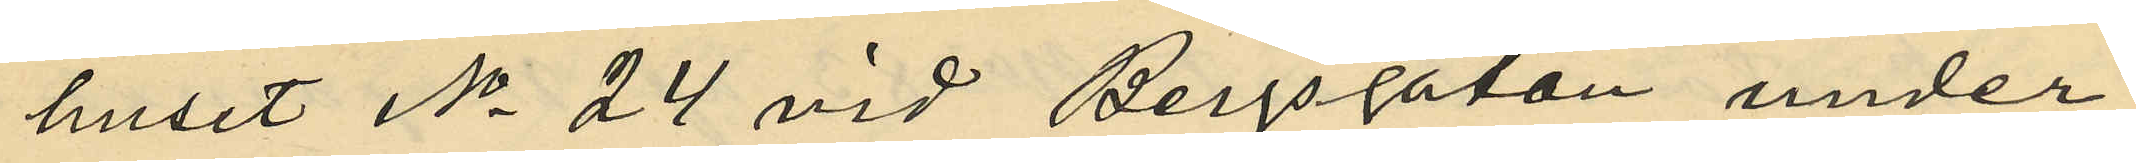huset No 24 vid Bergsgatan under
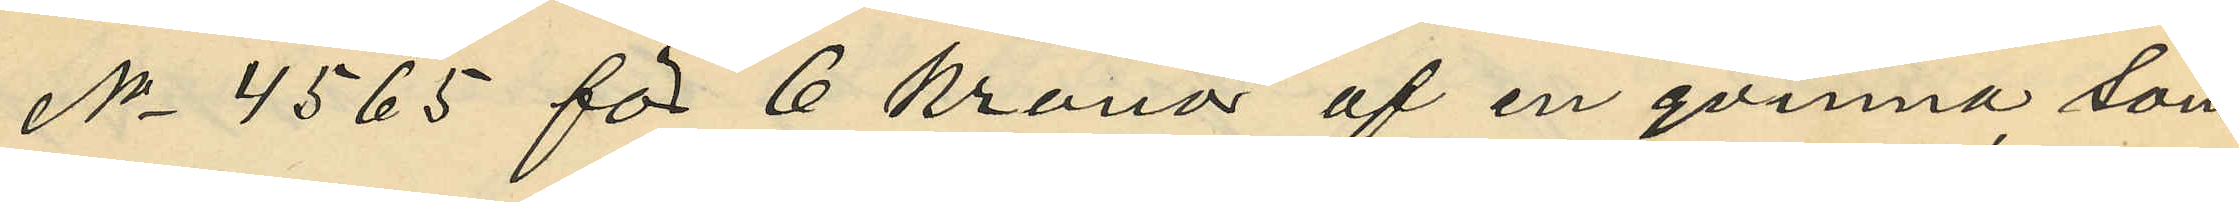No 4565 för 6 kronor af en qvinna som
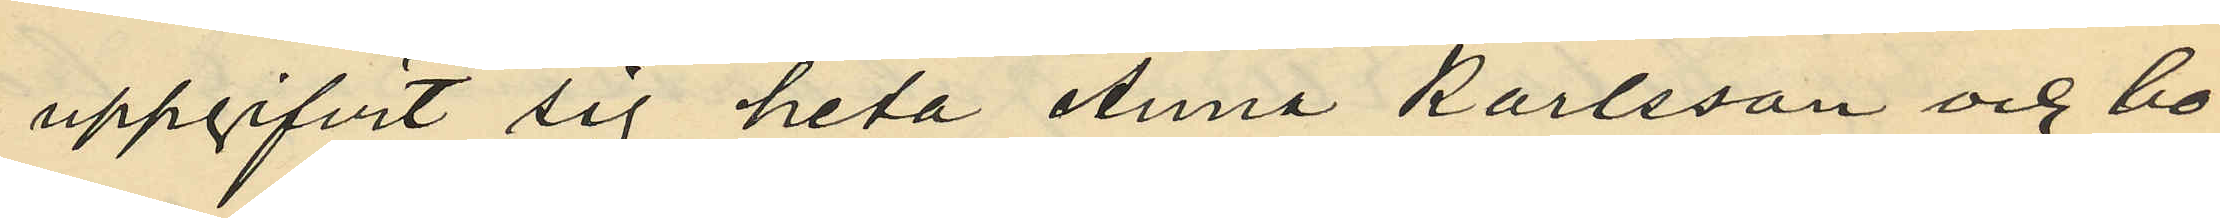uppgifvit sig heta Anna Karlsson och bo¬
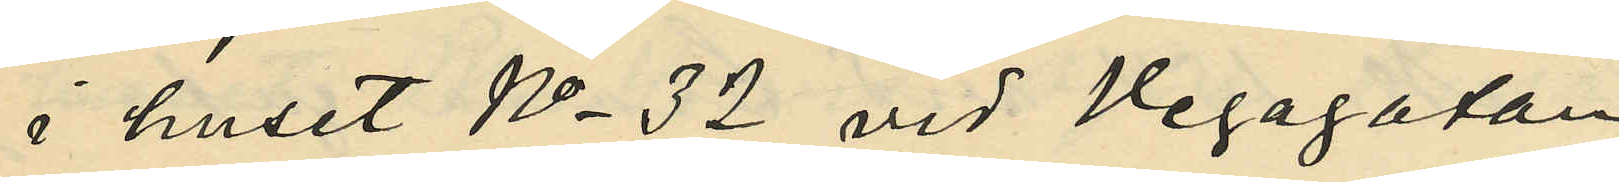i huset No 32 vid Vegagatan;
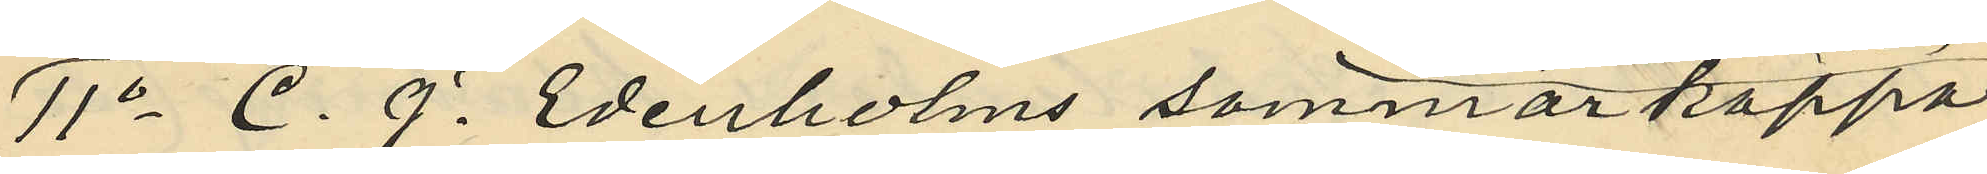11o C. J. Edenholms sommarkappa
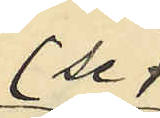(se
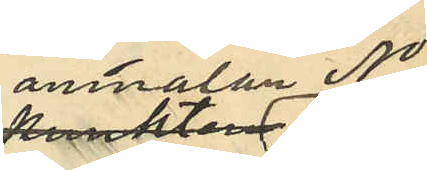anmälan No
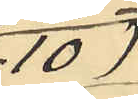10)
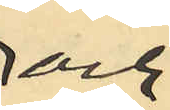och
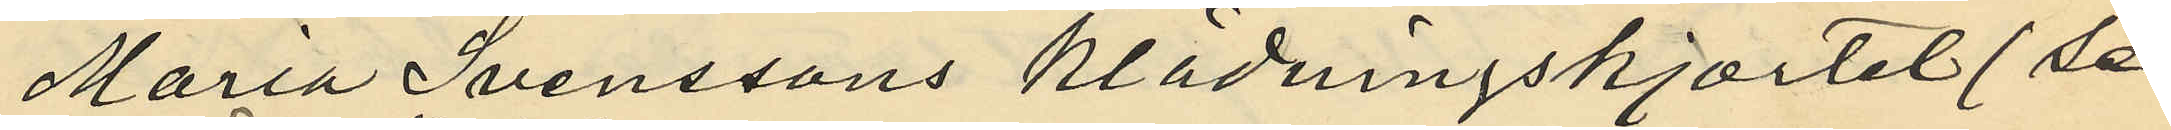Maria Svenssons klädningskjortet (se
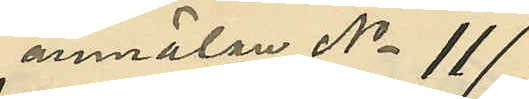anmälan No 11)
